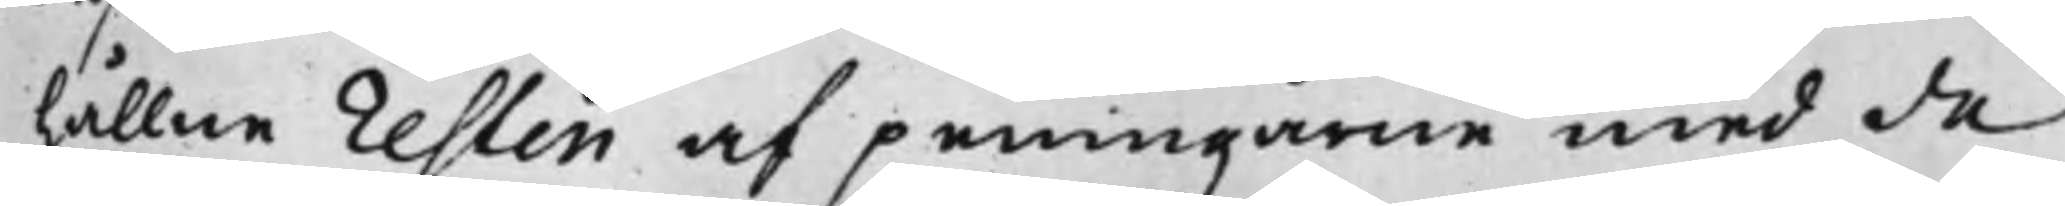hållne resten af peningarne med de
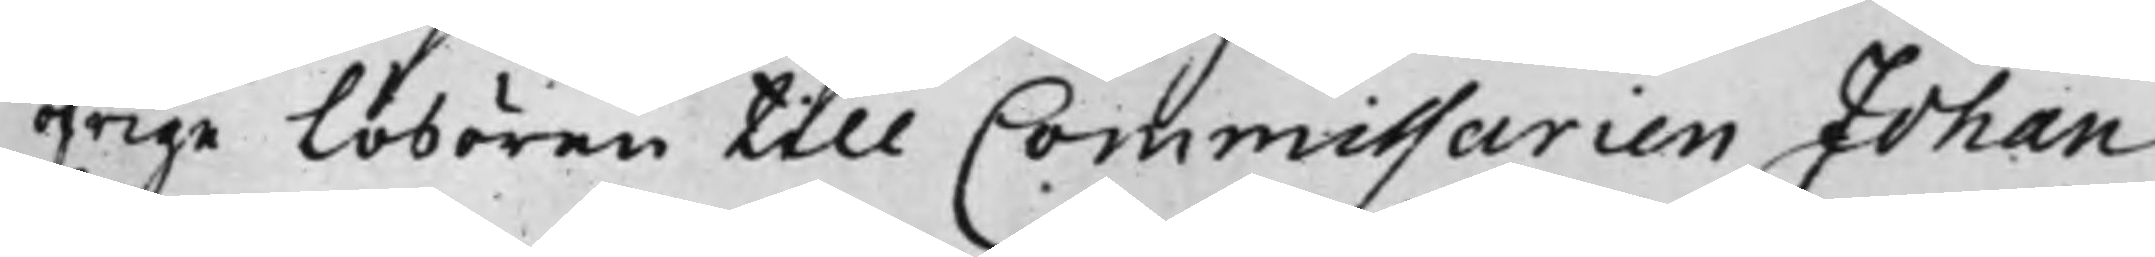öfrige Lösören till Commissarien Johan
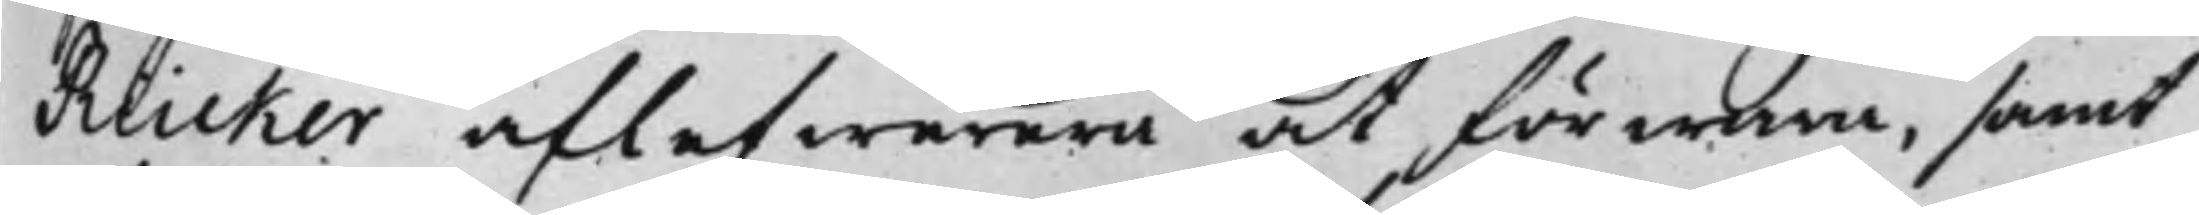Rücker aflefwerera at förwara, samt
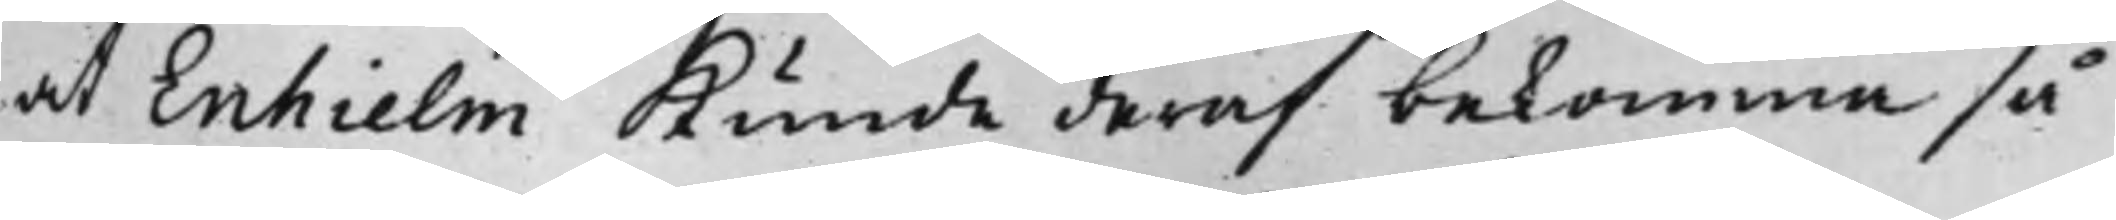at Enhielm kunde deraf bekomma så
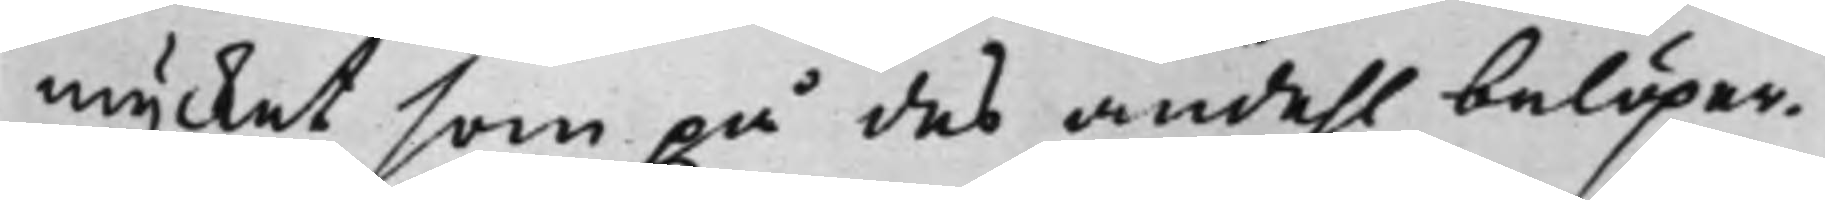mycket som på des andehl belöper.
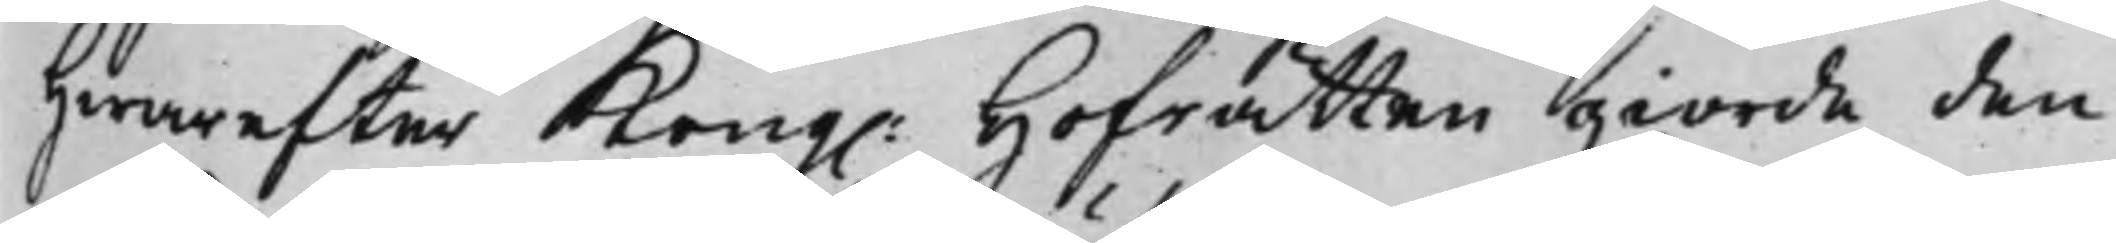Hwarefter Kong. Hofrätten giorde den
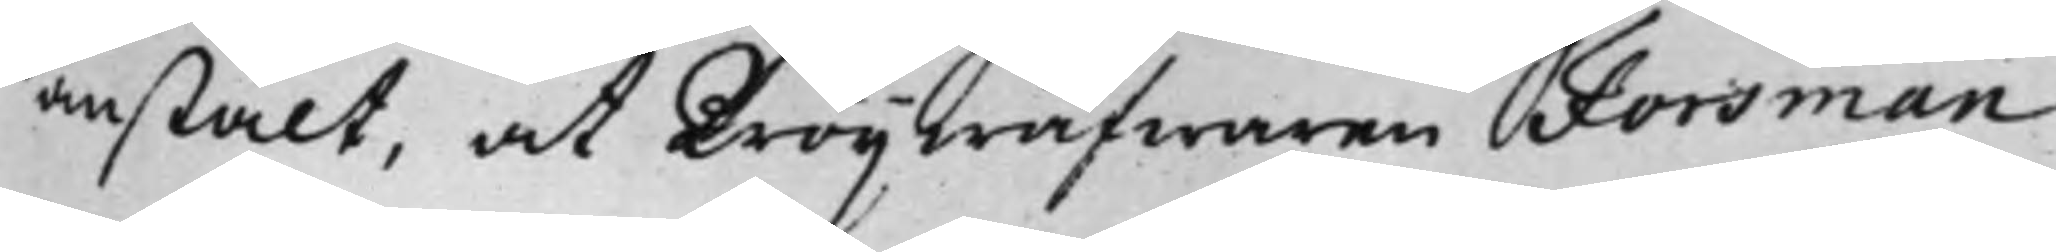anstält, at Tröijwäfwaren Forsman
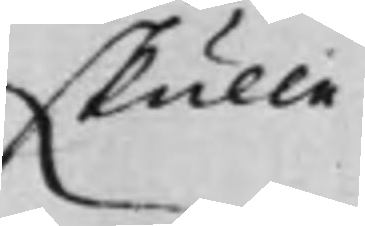skulle
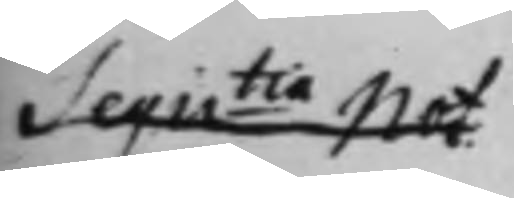Seqretia Not
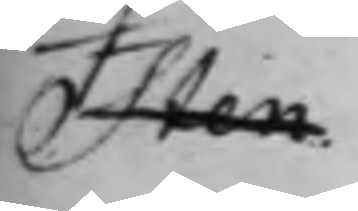Sten.
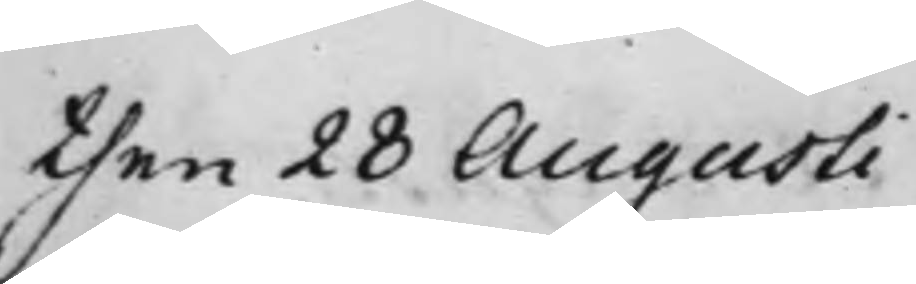then 28 Augusti
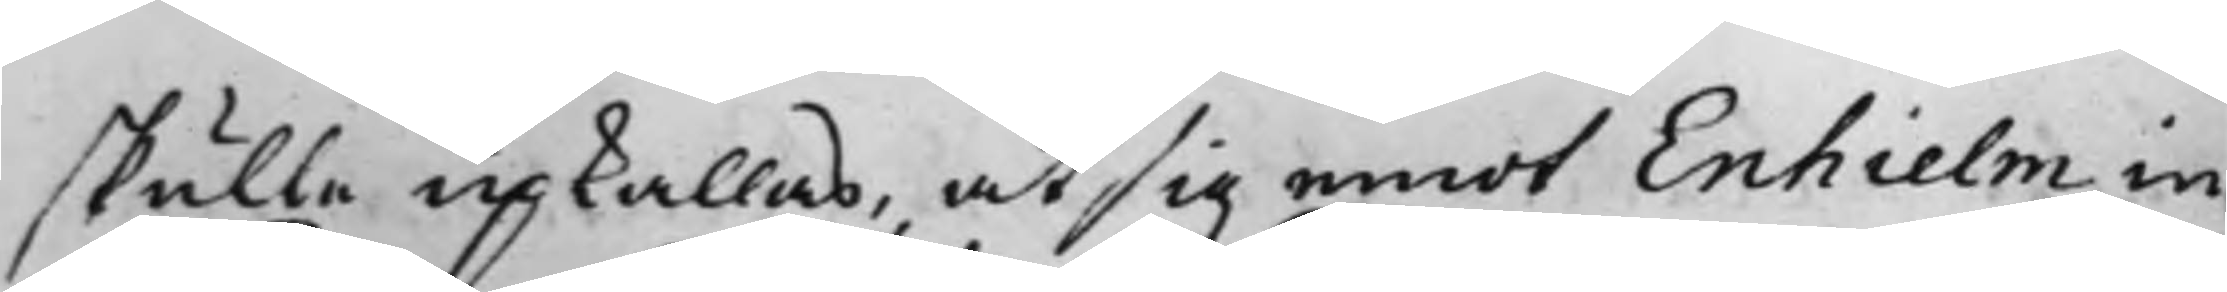skulle upkallas, at sig emot Enhielm in¬
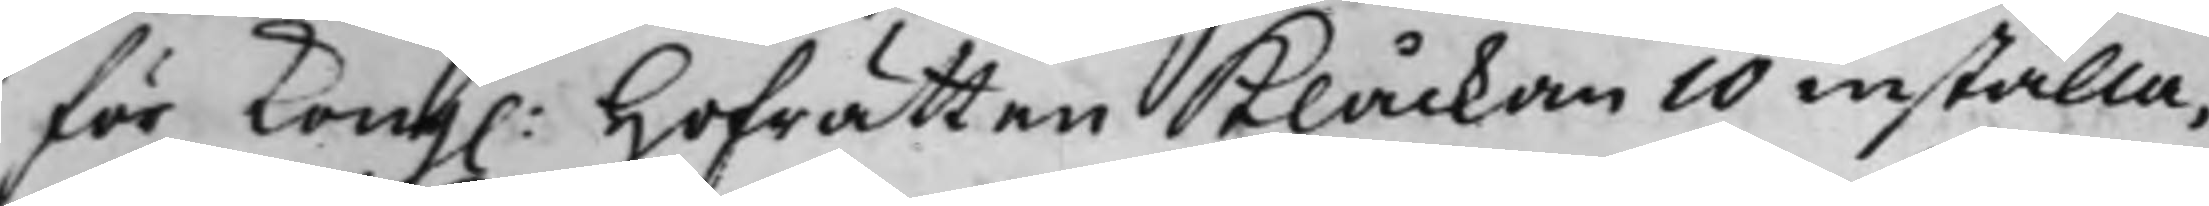för Kong. Hofrätten Klåckan 10 inställa,
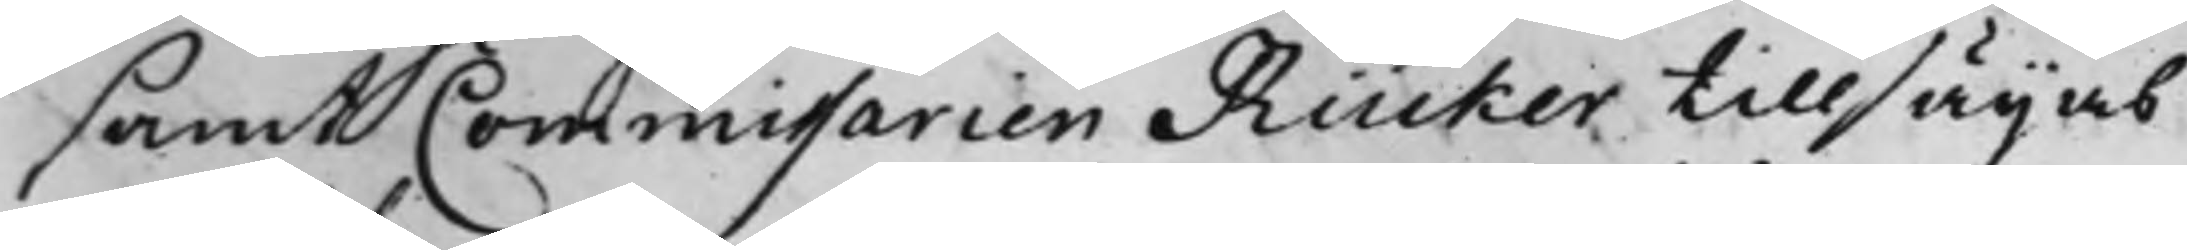samt Commissarien Rücker tillsägas
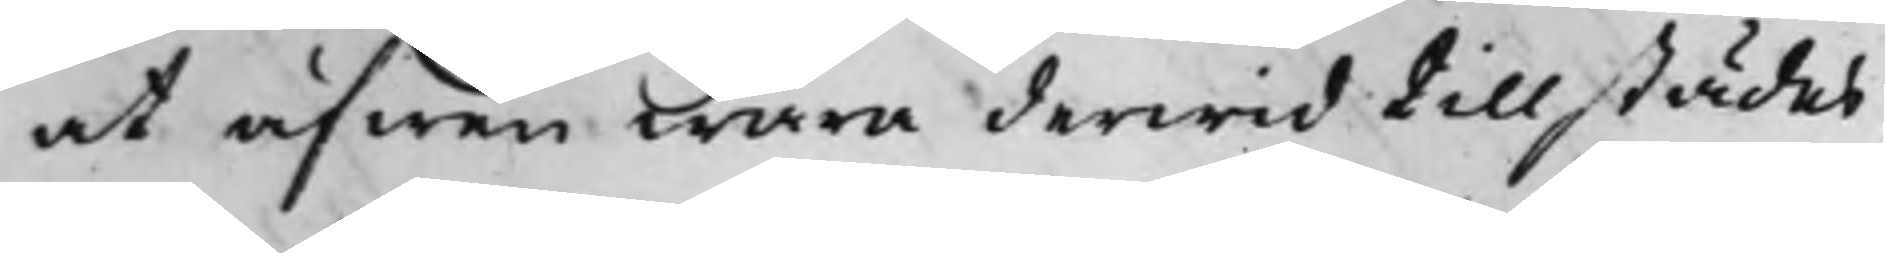at äfwen wara derwid tillstädes
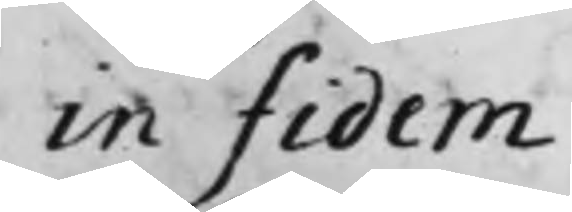in fidem
